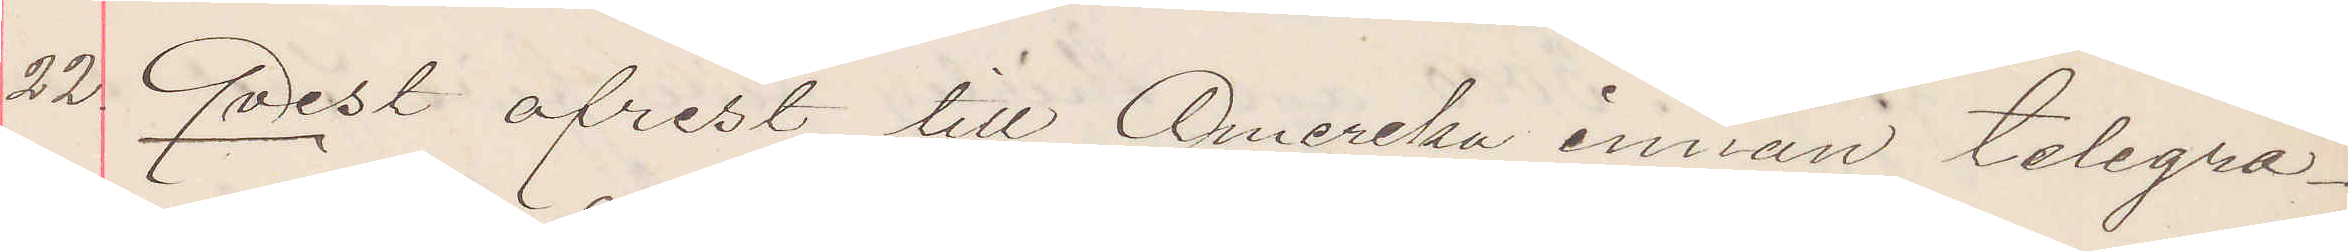22 Qvest afrest till Amerika innan telegra¬
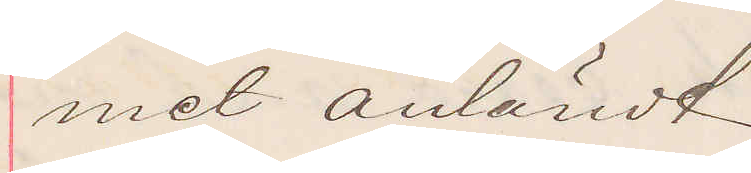met anländt
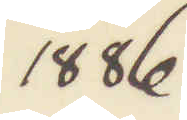1886
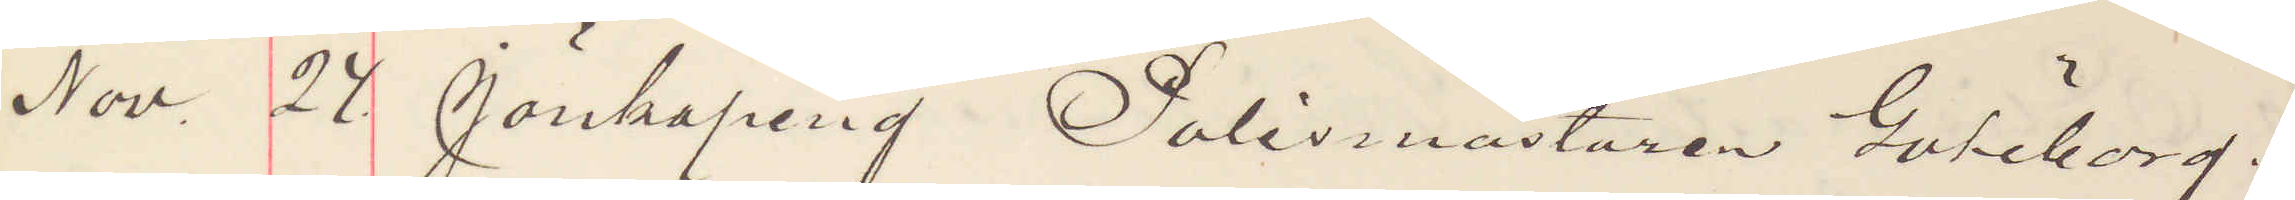Nov. 28 Jönköping Polismästaren Göteborg.
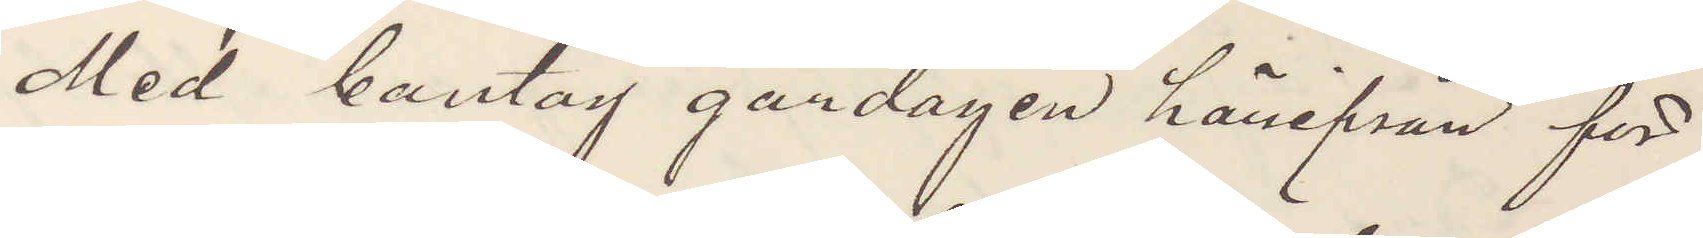Med bantåg gårdagen härifrån för
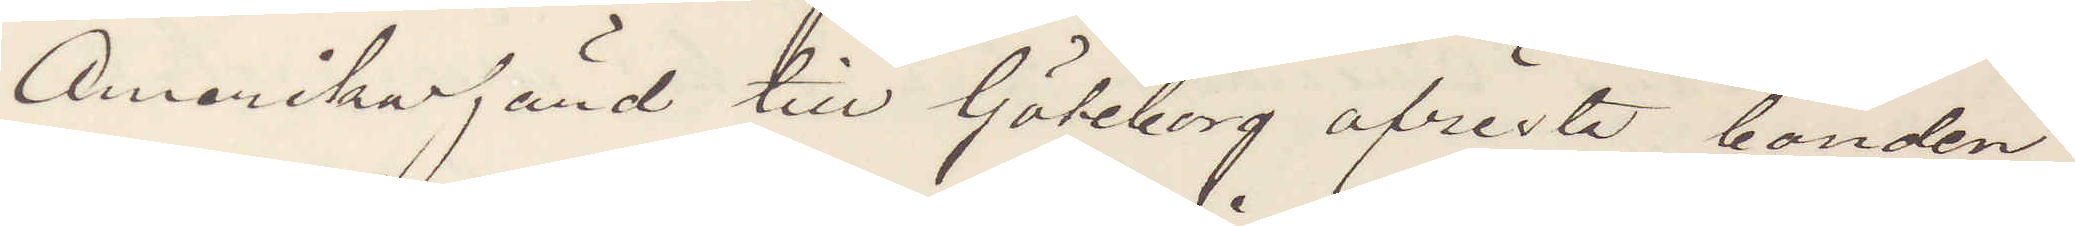Amerikafärd till Göteborg afresta bonden
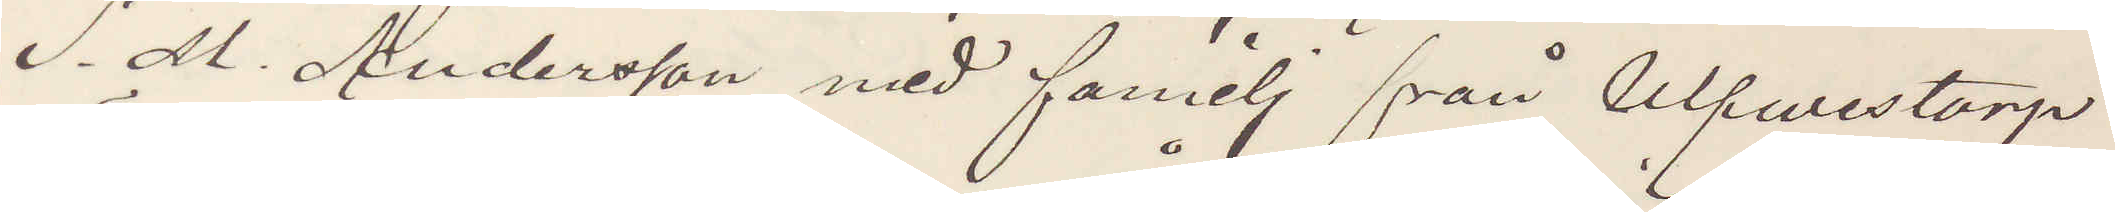S. M. Andersson med familj från Ulfwestorp
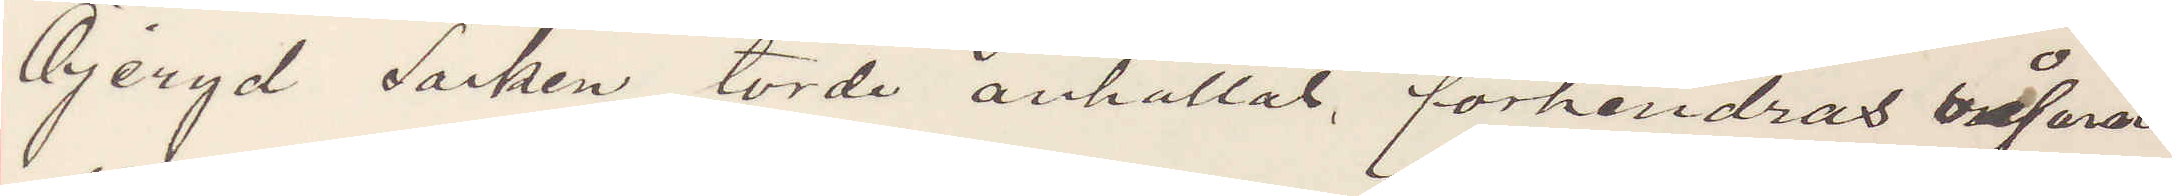Öjeryd Socken torde anhållas, förhindras såsom
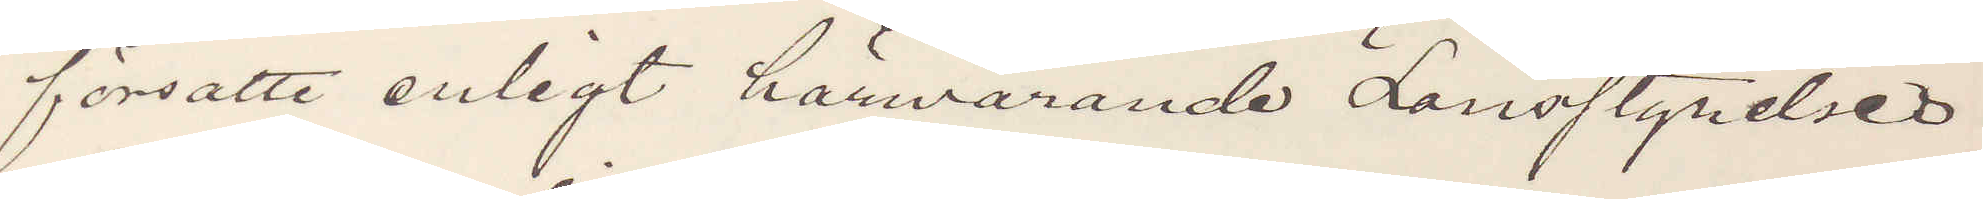försatte enligt härvarande Länsstyrelses
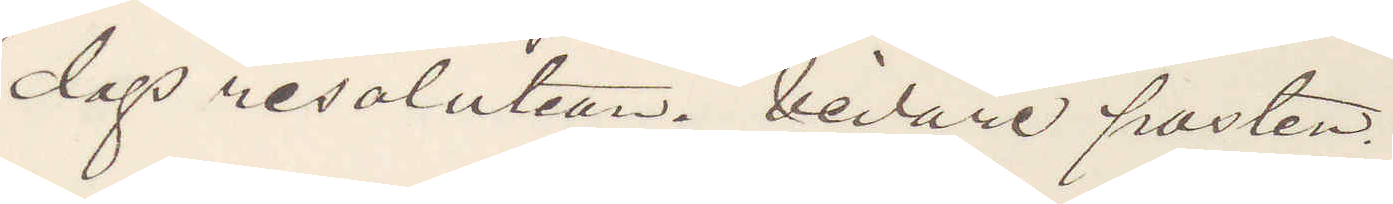dags resolution. Vidare posten.
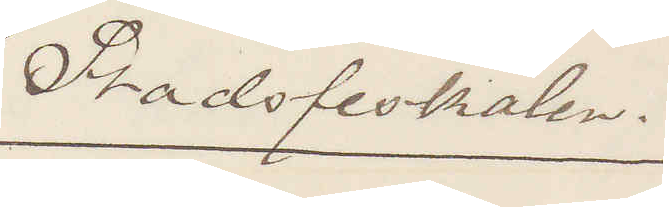Stadsfiskalen.
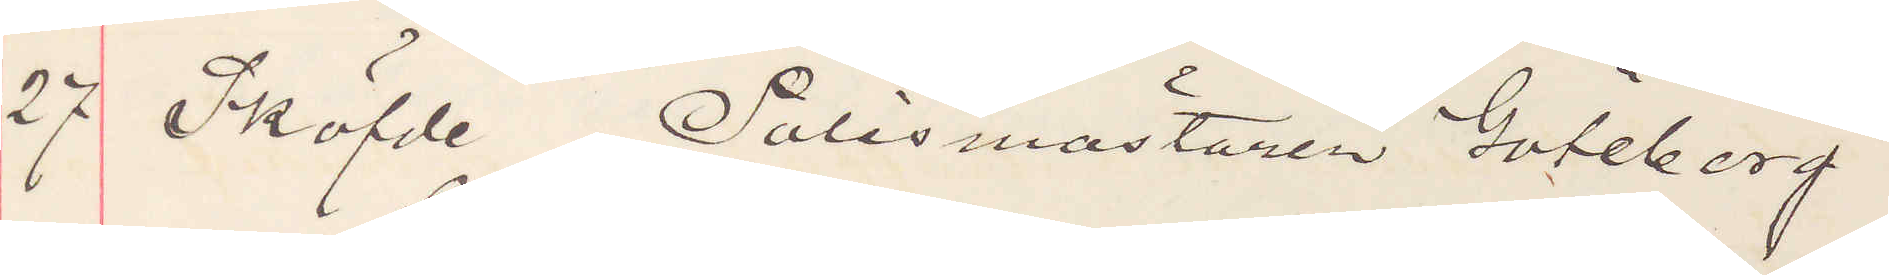27 Sköfde Polismästaren Göteberg
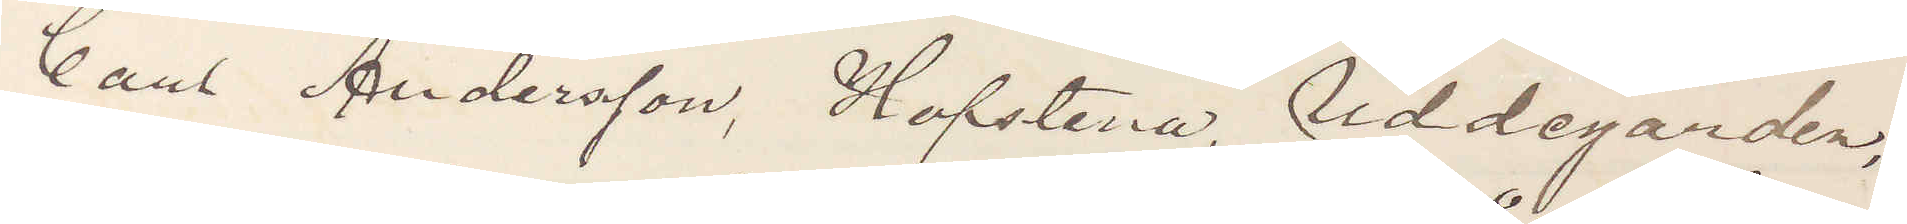Carl Andersson, Hofstena, Uddegården,
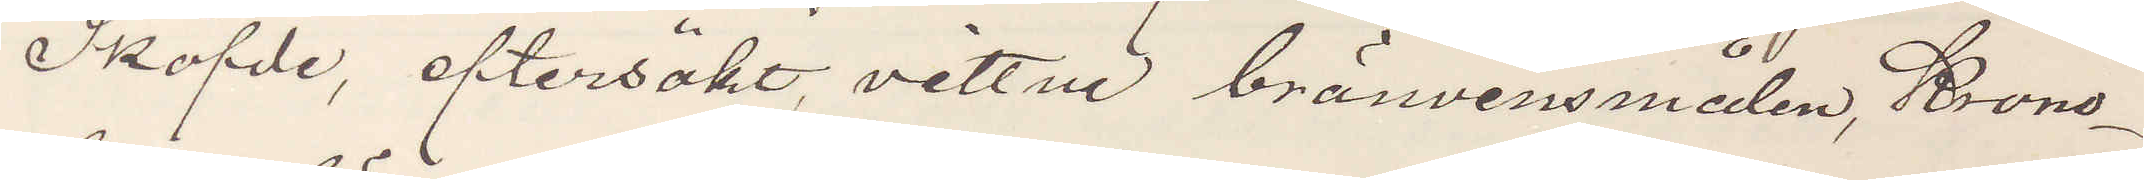Sköfde, eftersökt, vittne bränvinsmålen, Krono¬
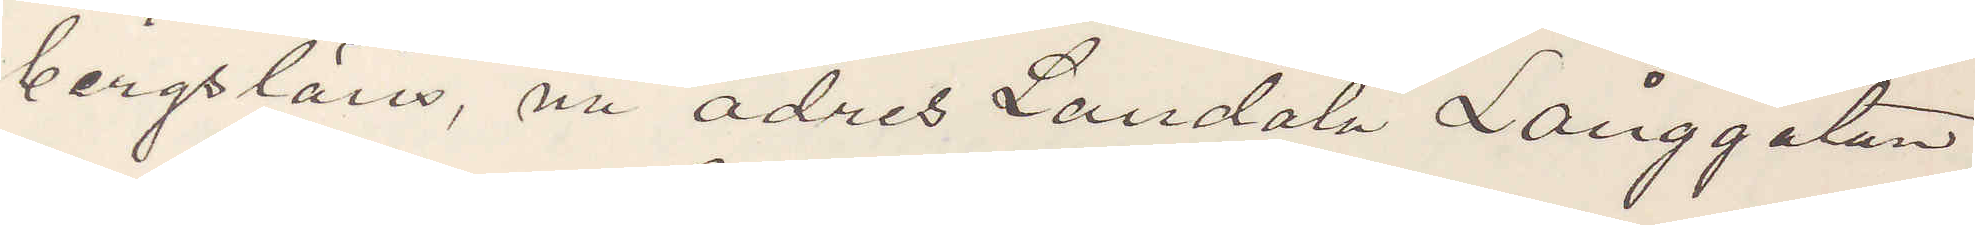bergsläns, nu adres Landala Långgatan
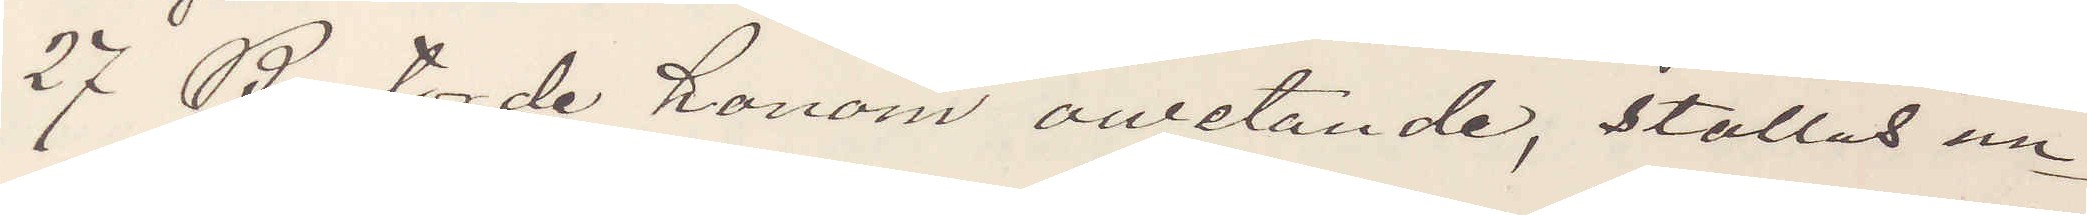27 B, torde honom ovetande, ställas un¬
